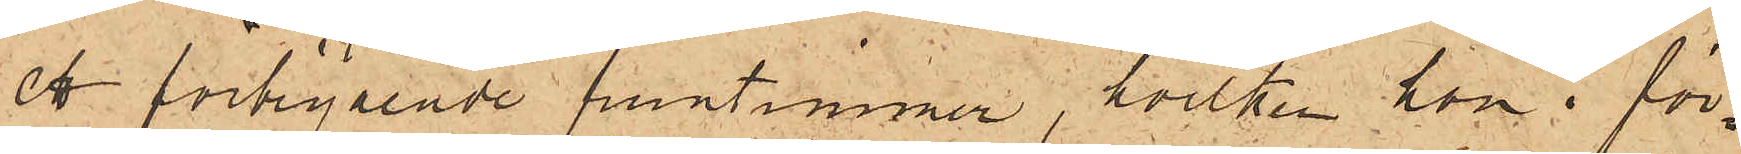ett förbigående fruntimmer, hvilken hon i för¬
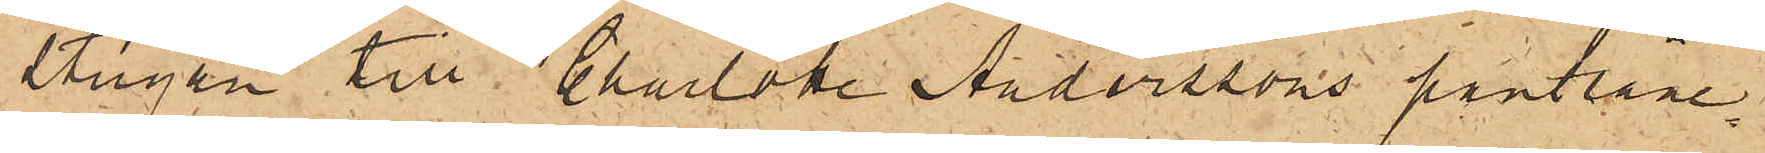stugan till Charlotta Anderssons pantlåne¬
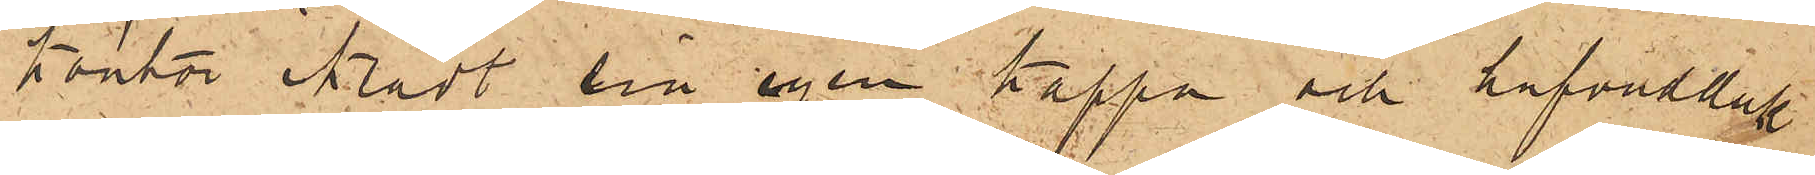kontor iklädt sin egen kappa och hufvudduk
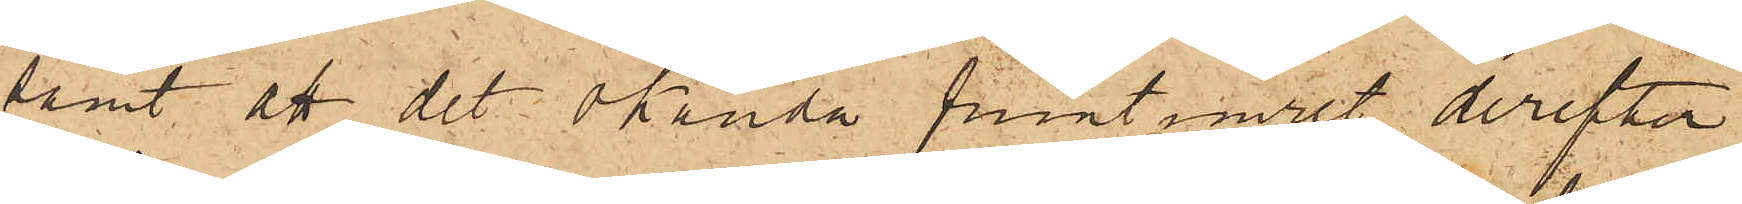samt att det okända fruntimret derefter
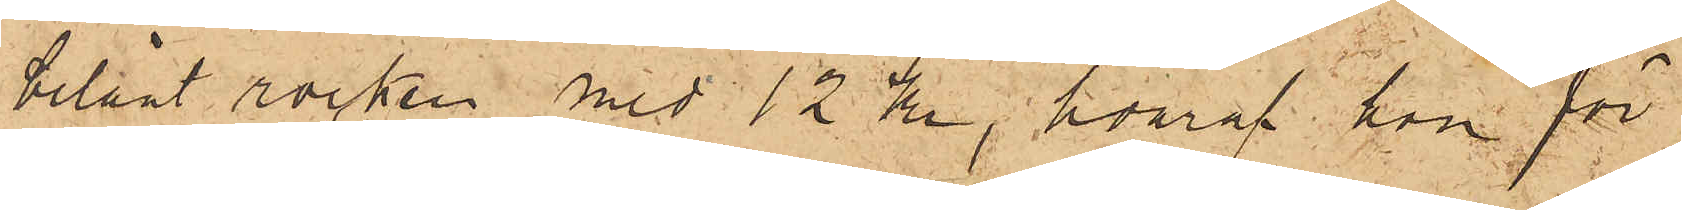belånt rocken med 12 Kr, hvaraf hon för
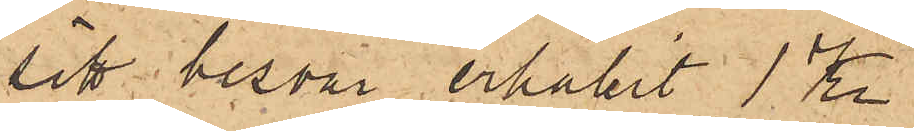sitt besvär erhållit 1 Kr.
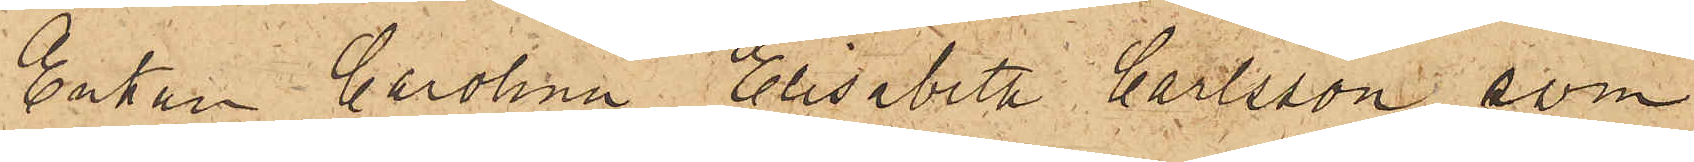Enkan Carolina Elisabeth Carlsson, som
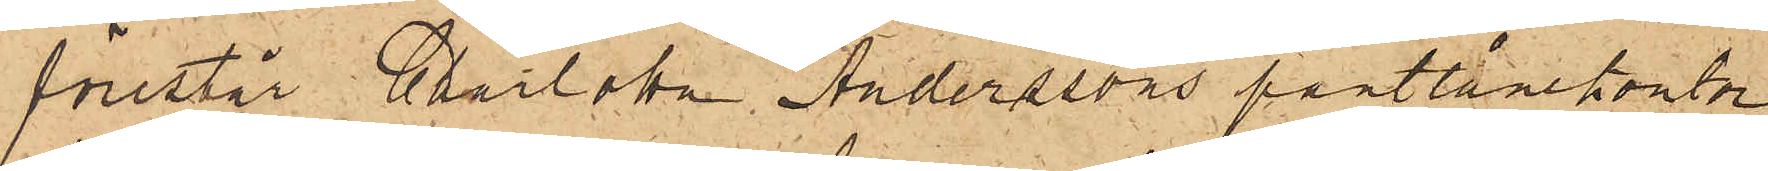förestår Charlotta Anderssons pantlånekontor
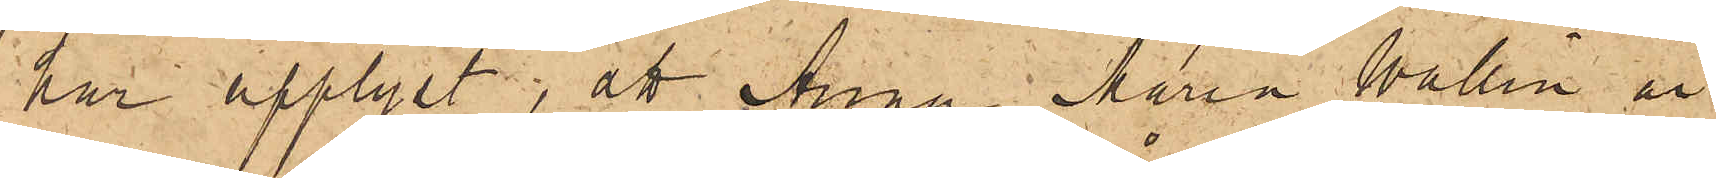har upplyst, att Anna Maria Wallin är
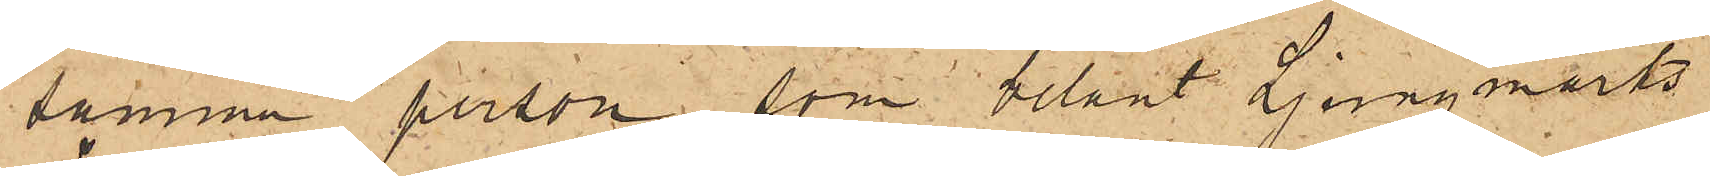samma person, som belånt Ljungmarks
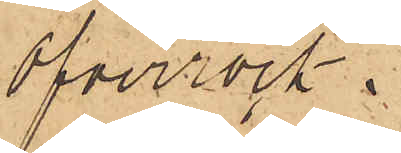öfverrock.
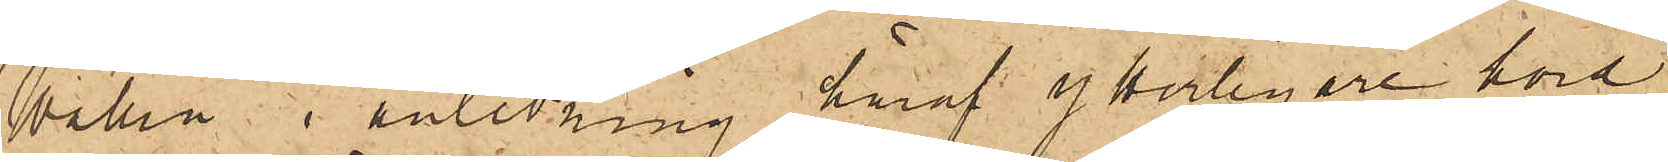Wallin i anledning häraf ytterligare hörd,
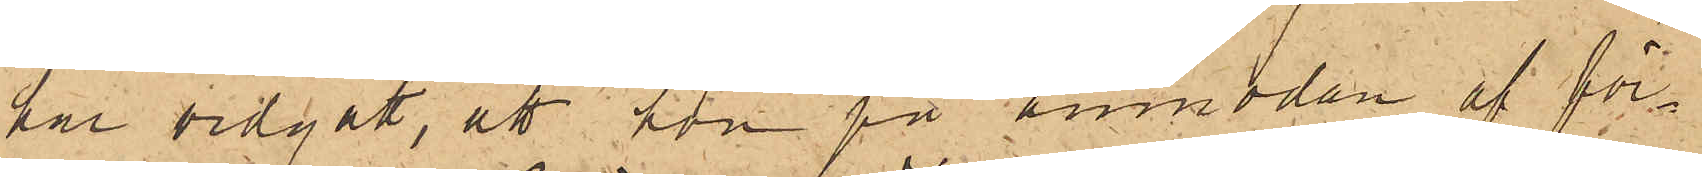har vidgått, att hon på anmodan af för¬
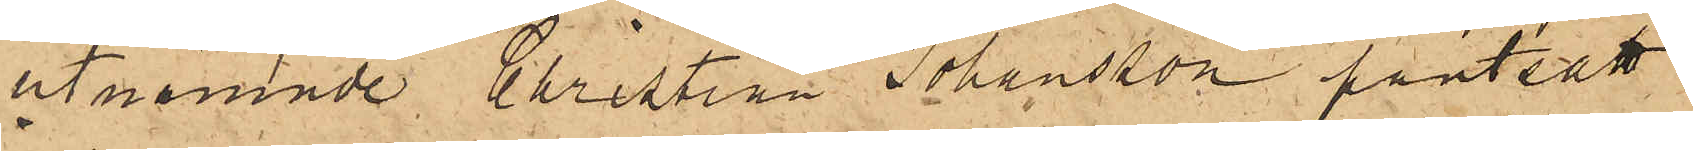utnämnde Christian Johansson pantsatt
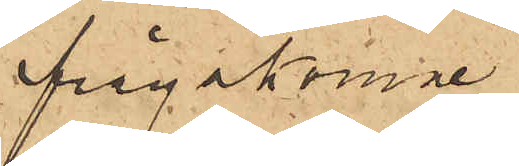ifrågakomne
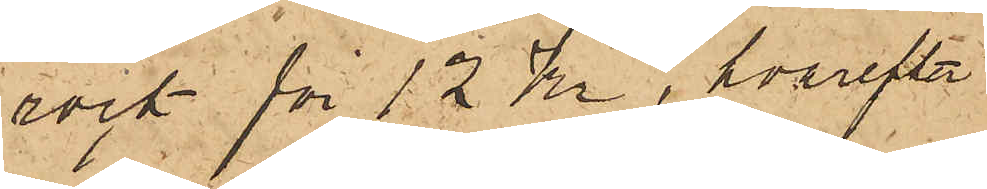rock för 12 Kr, hvarefter
